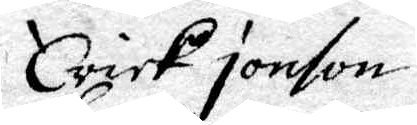Erick jonson
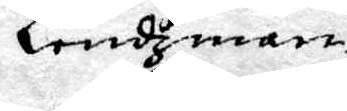Lendzman
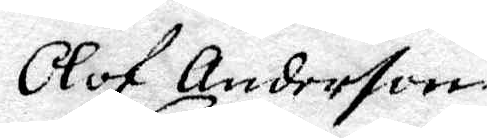Olof Anderson
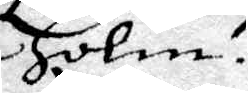Holm
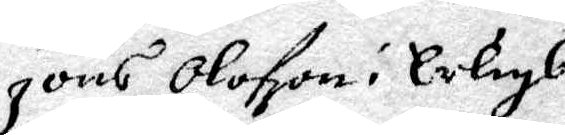Jöns Olofson i erligbo
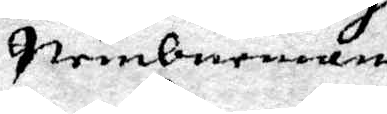nembneman
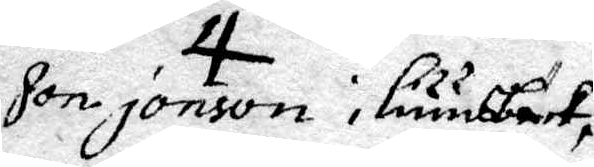Jon jonson i liuusbäck,
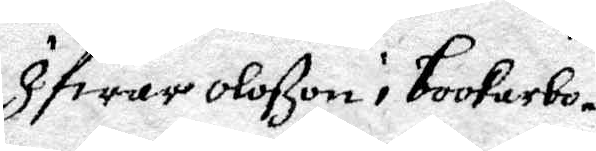Ifwar Olofson i bookarbo
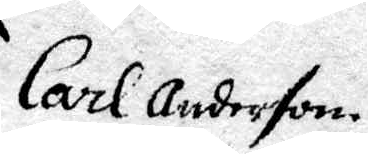Carl Anderson
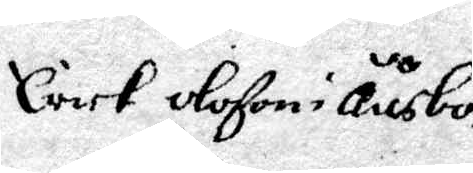Carl Olson i Ååsbo
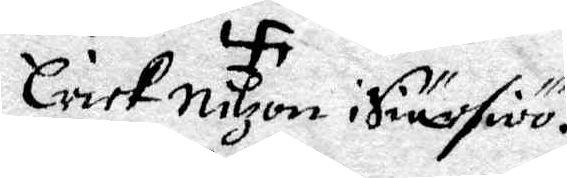Erich Nilzon i Siursiöö
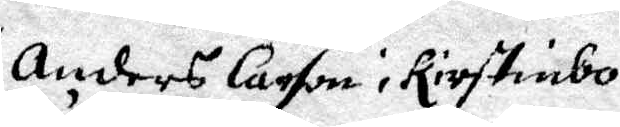Anders larson i Kirstinbo
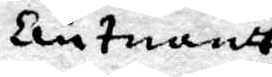leutnandt
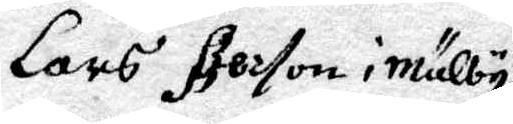lars Person i Mälby
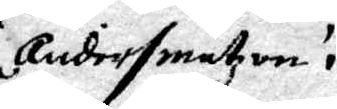Anders matzon i
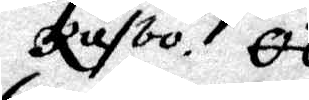Råsbo
